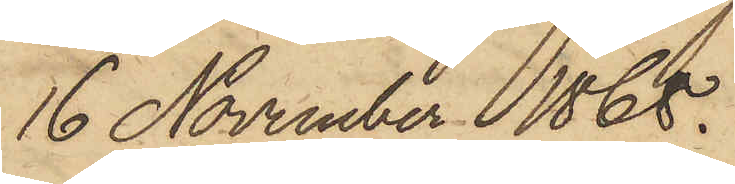16 November 1868.
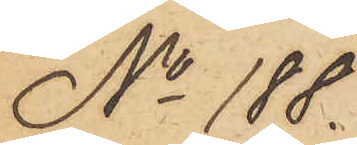No 188.
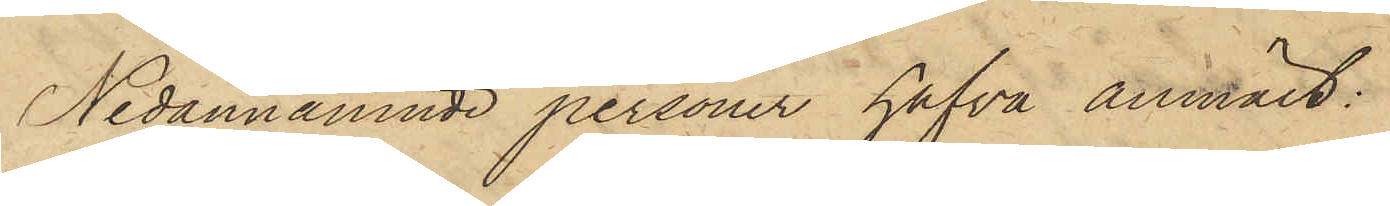Nedannämnde personer hafva anmält:
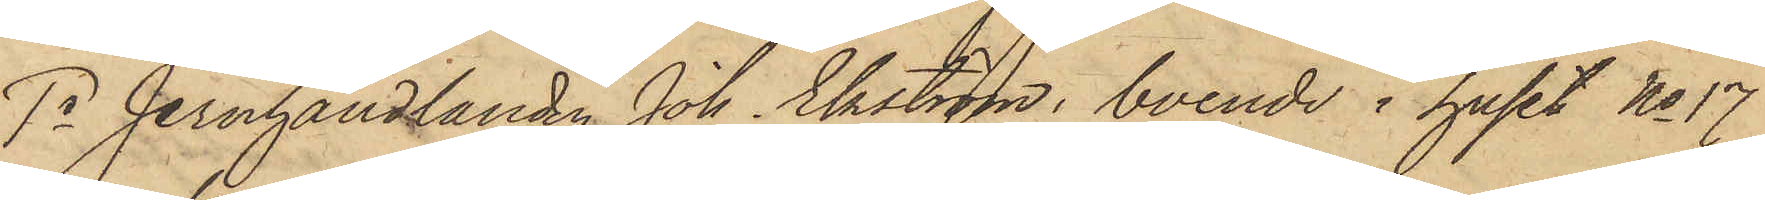1o Jernhandlanden Joh. Ekström, boende i huset No 17
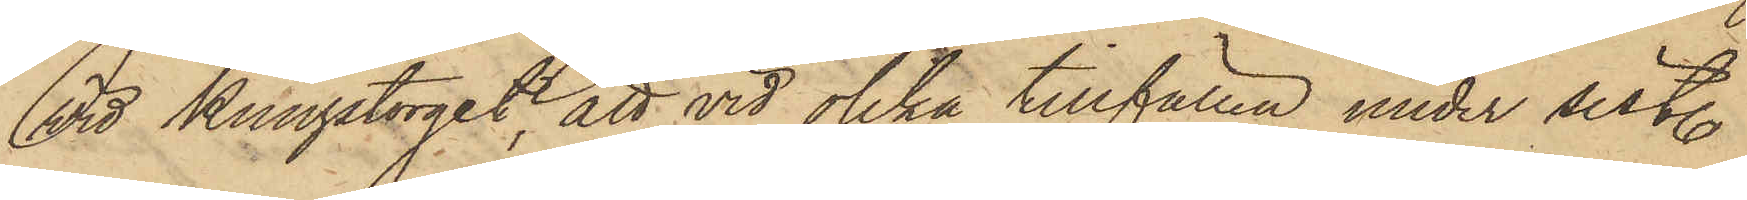vid Kungstorget, att vid olika tillfällen under sistl.
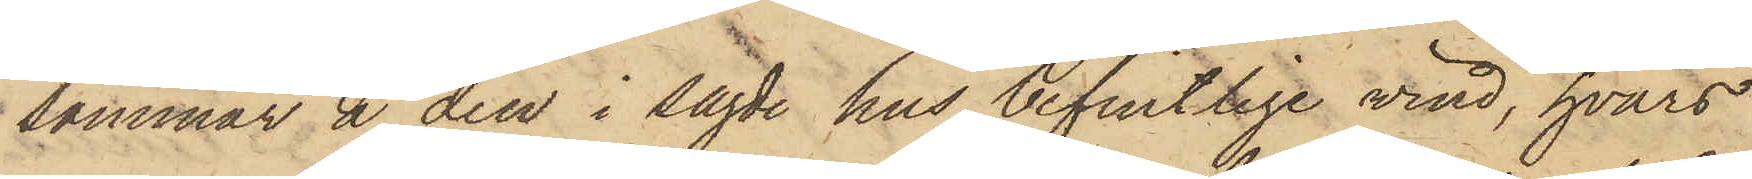sommar å den i sagde hus befintlige vind, hvars
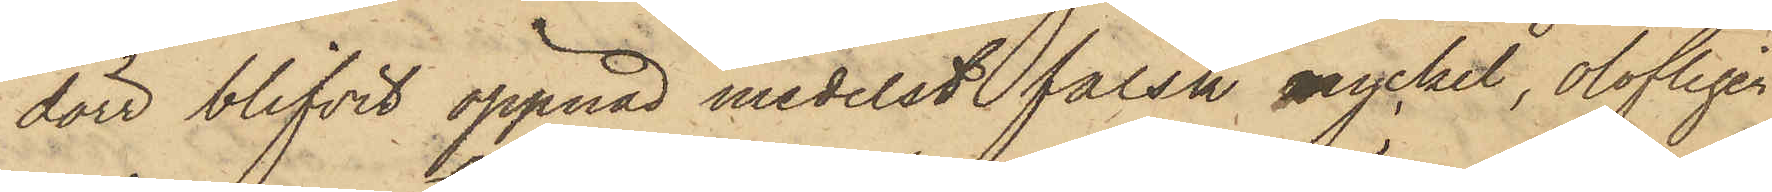dörr blifvit öppnad medelst falsk nyckel, olofligen
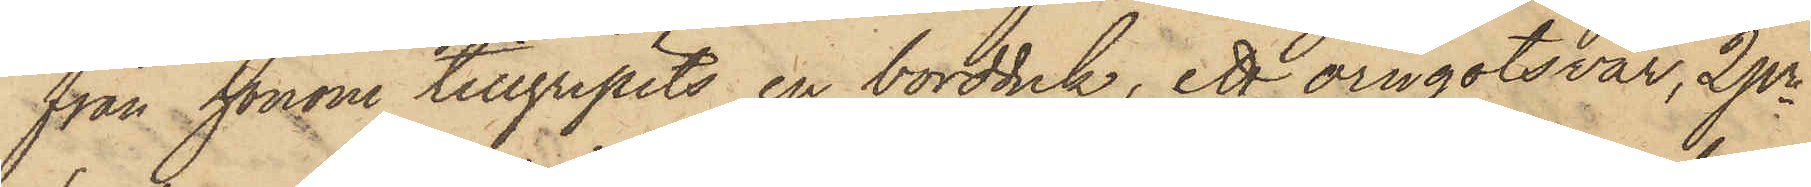från honom tillgripits en bordduk, ett örngotsvar, 2 pr
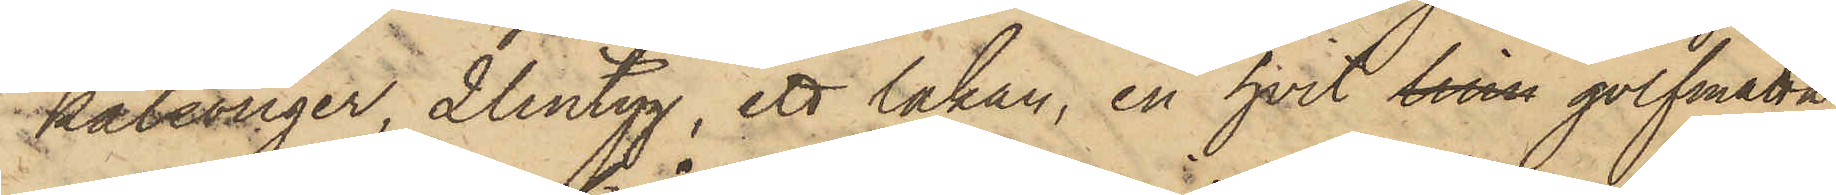kalsonger, 2 lintyg, ett lakan, en hvit linn golfmatta
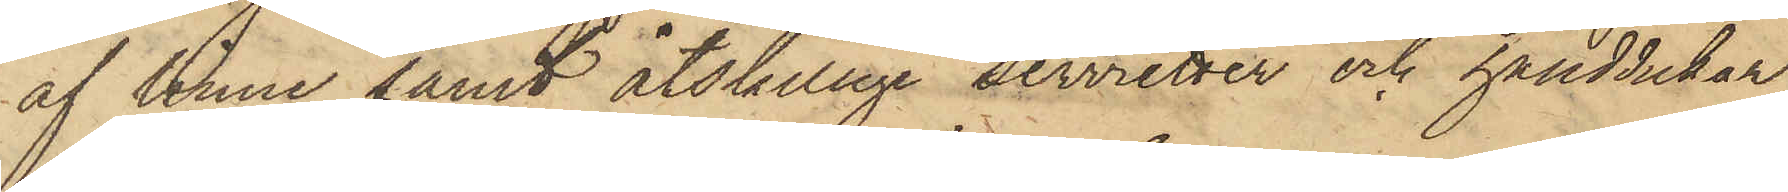af linne samt åtskillige servietter och handdukar,
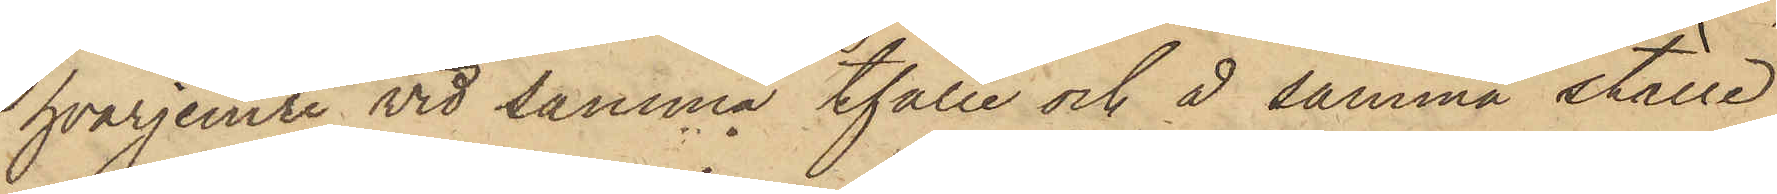hvarjemte vid samma tfälle och å samma ställe
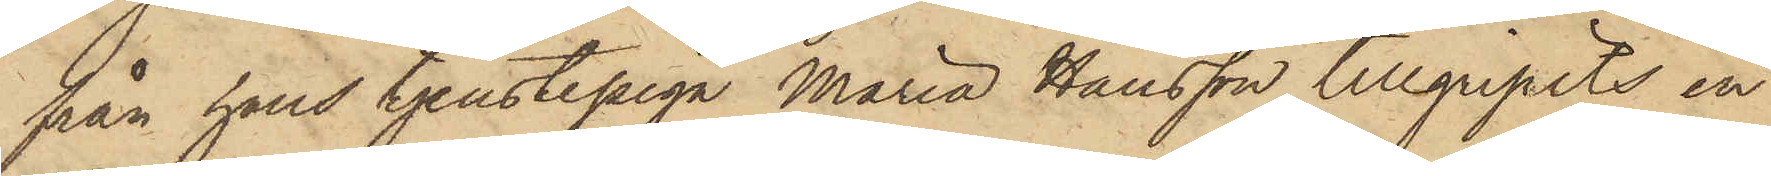från hans tjenstepiga Maria Hansson tillgripits en
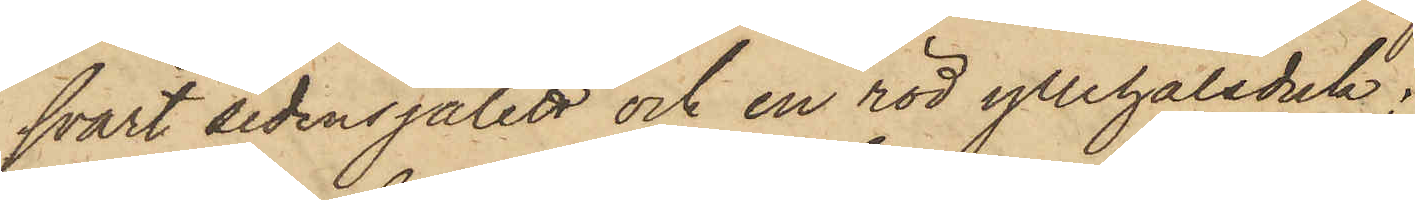svart sidensjalett och en röd yllehalsduk;
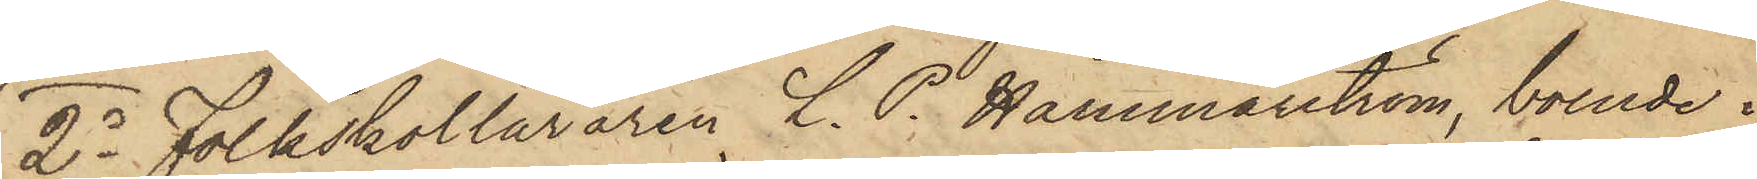2o Folkskolläraren L. P. Hammarström, boende i
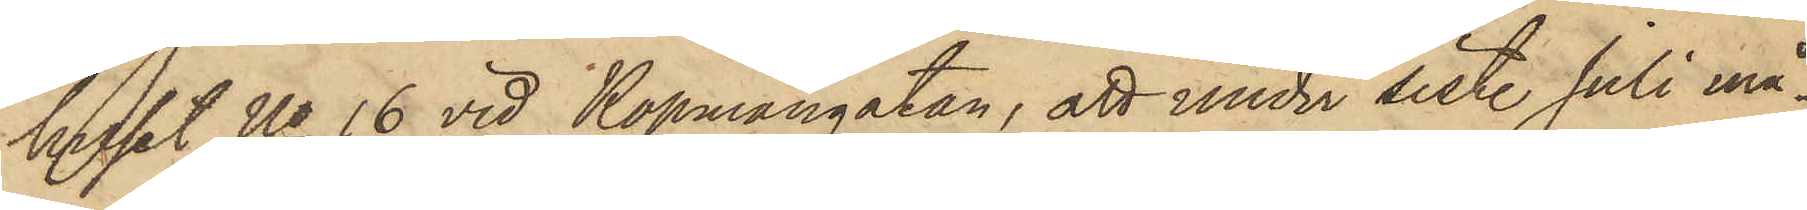huset No 16 vid Köpmangatan, att under sist. Juli må¬
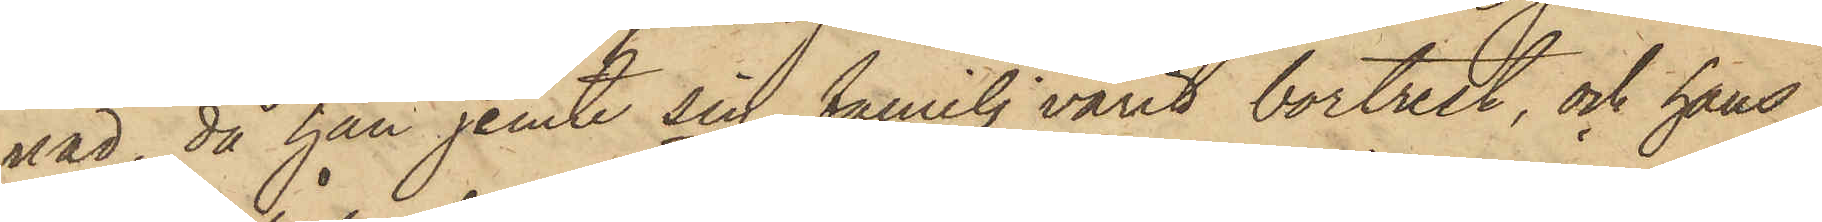nad, då han jemte sin familj varit bortrest, och hans
